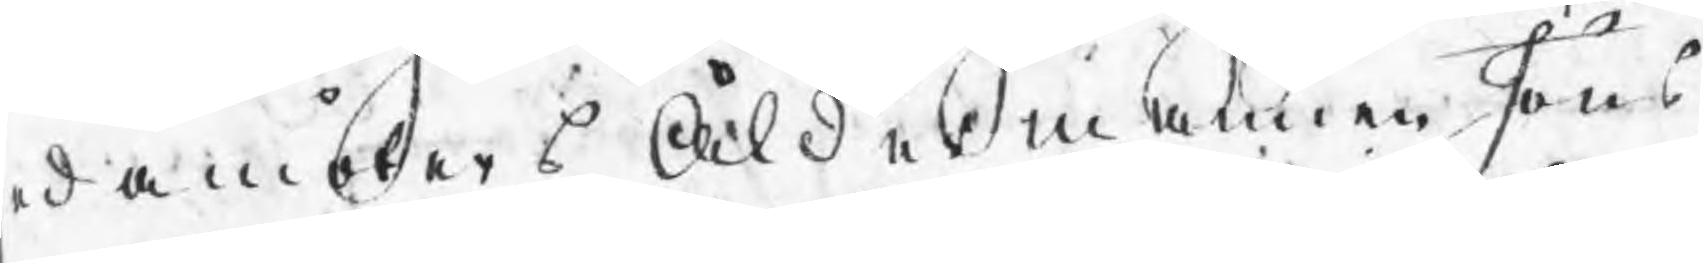edamöters Åldermannen Jöns
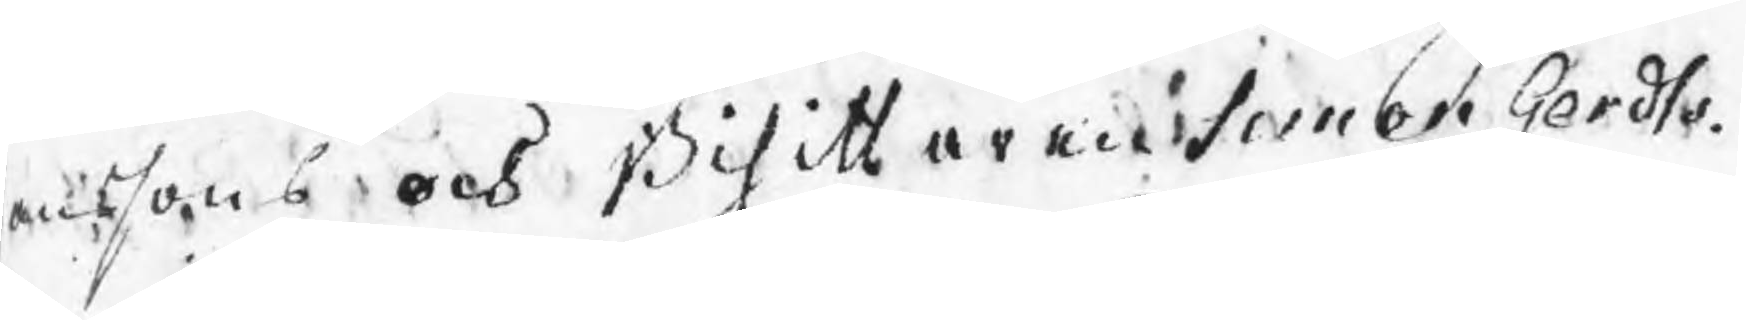anssons och Bisittaren Simon Gerdts¬
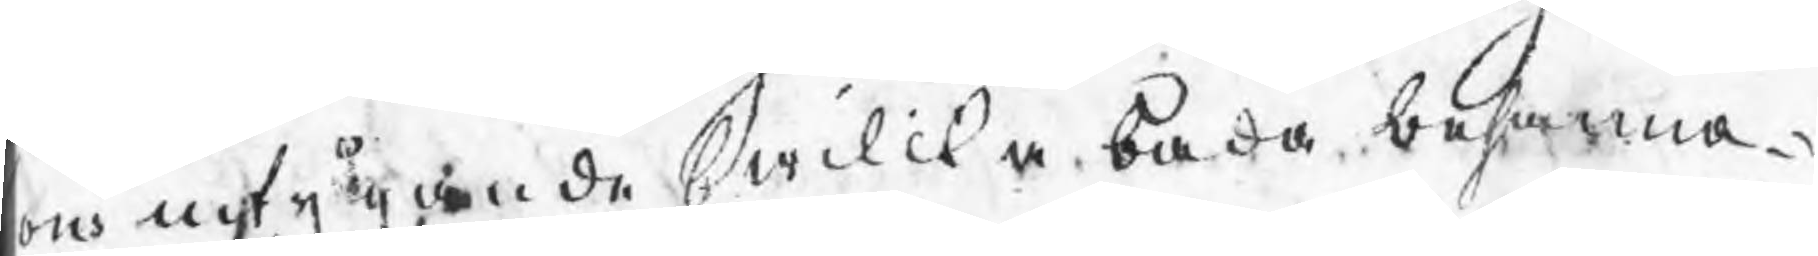ons intygande hwilka båda besanna
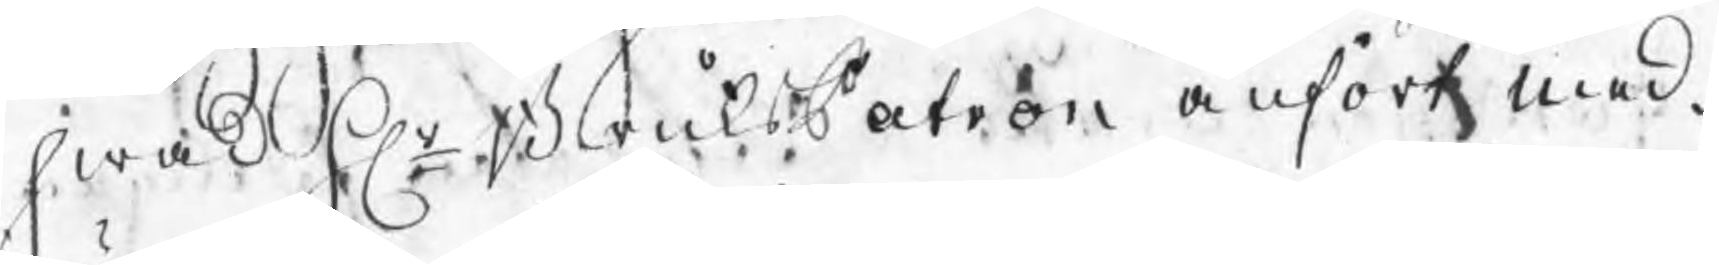hwad Hr BruksPatron anfört med
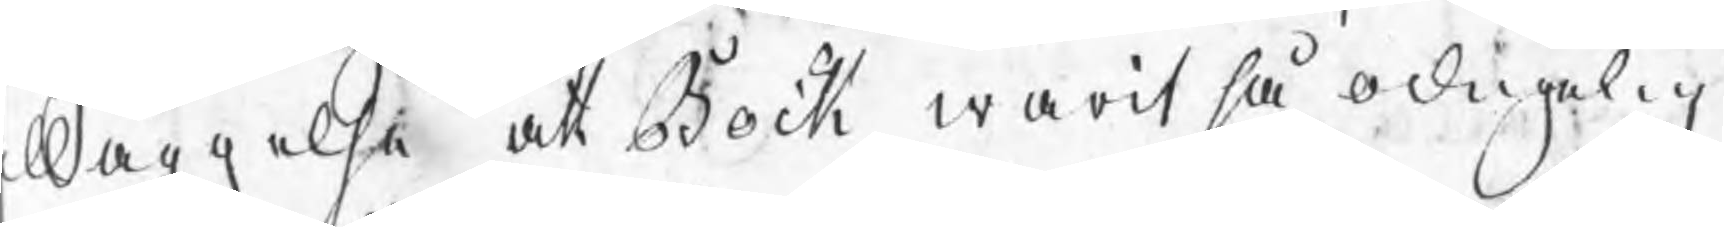illäggelse att Bock warit så odugelig
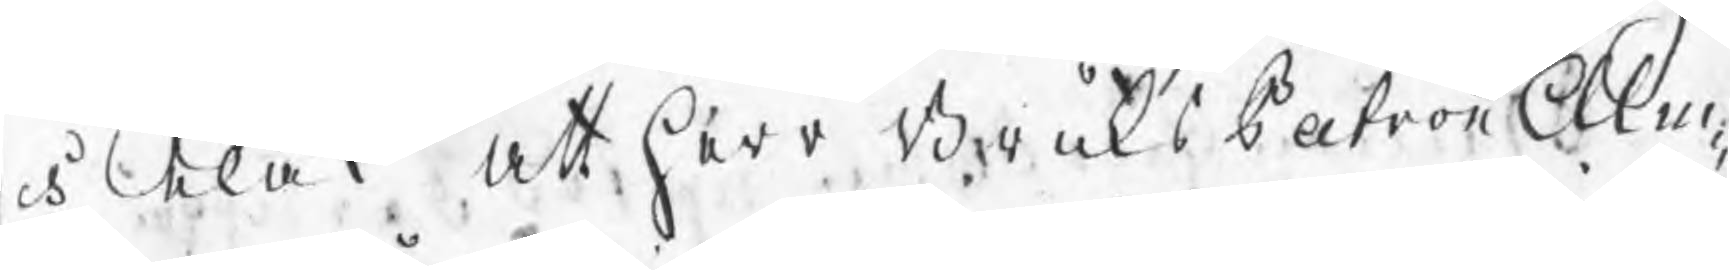och elak att Herr BruksPatron Alm¬
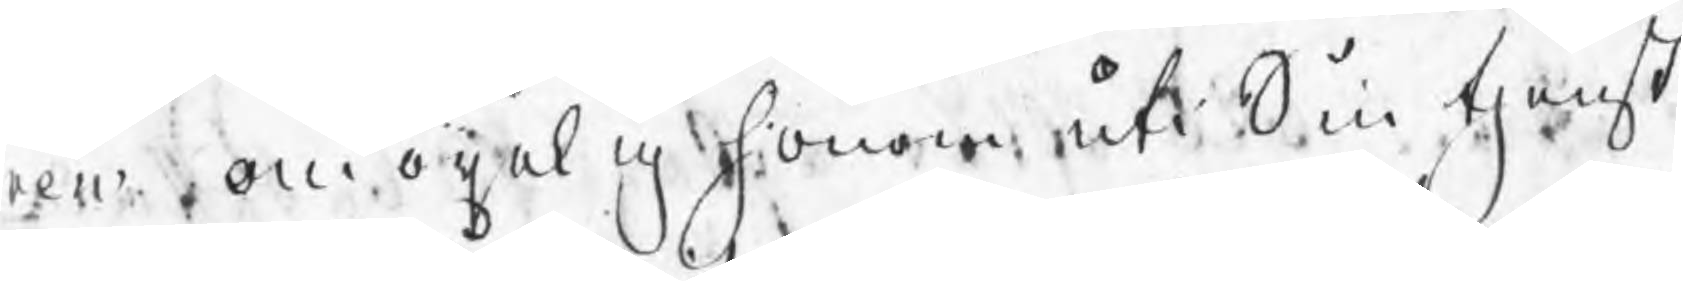ren omögeligen honom ut Sin tjenst
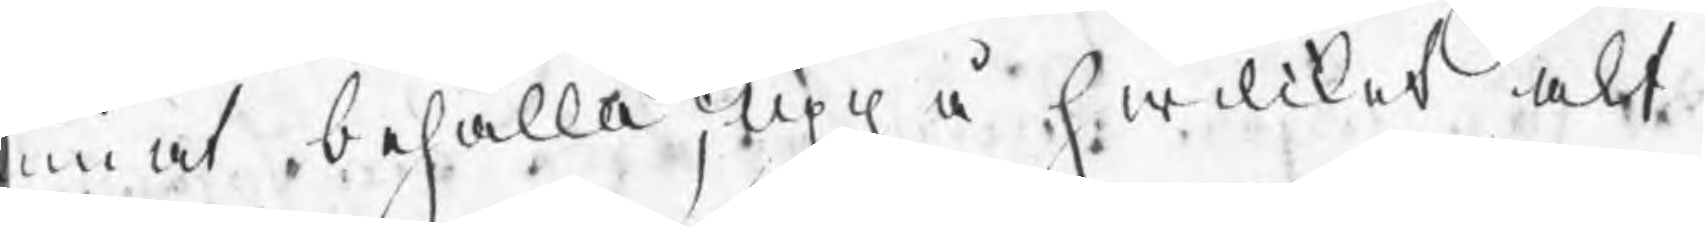unnat behålla; uppå hwilket alt
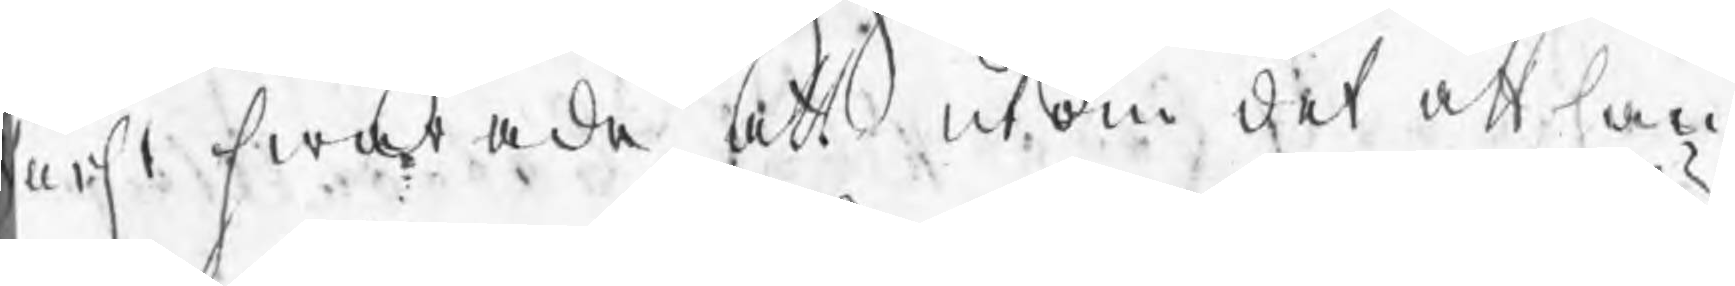urst swarade, att utom det att han
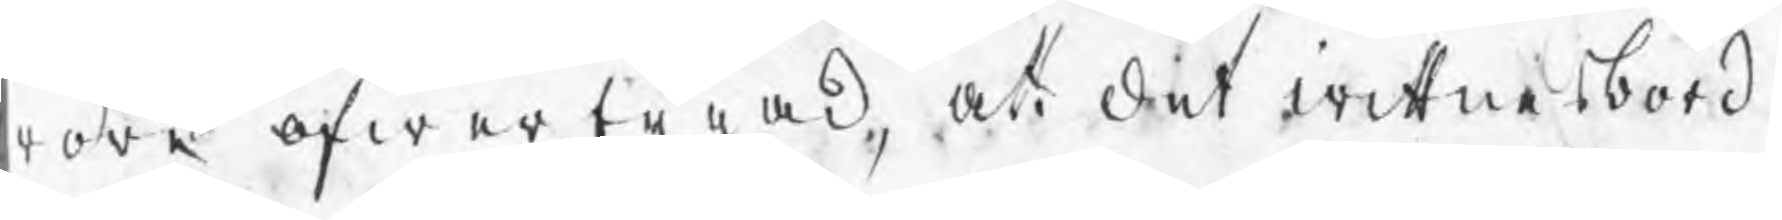wore ofwertygad, att det wittnesbörd
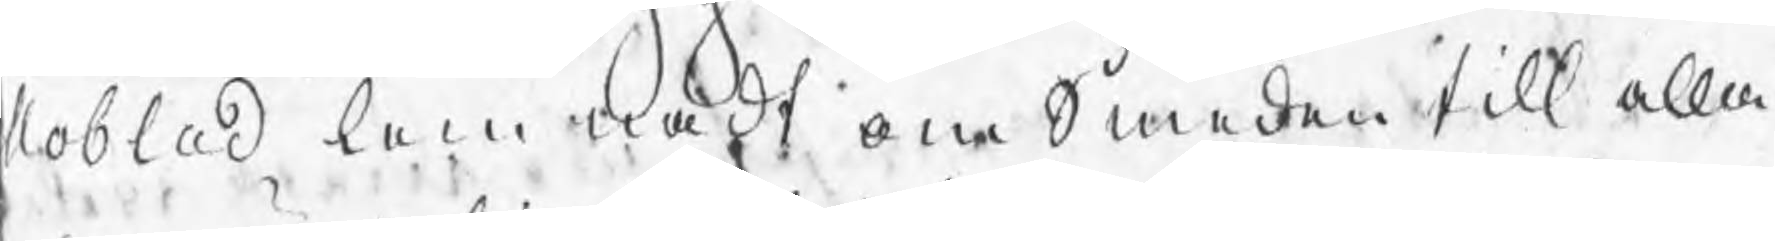Moblad lemnadt om Smeden till alla
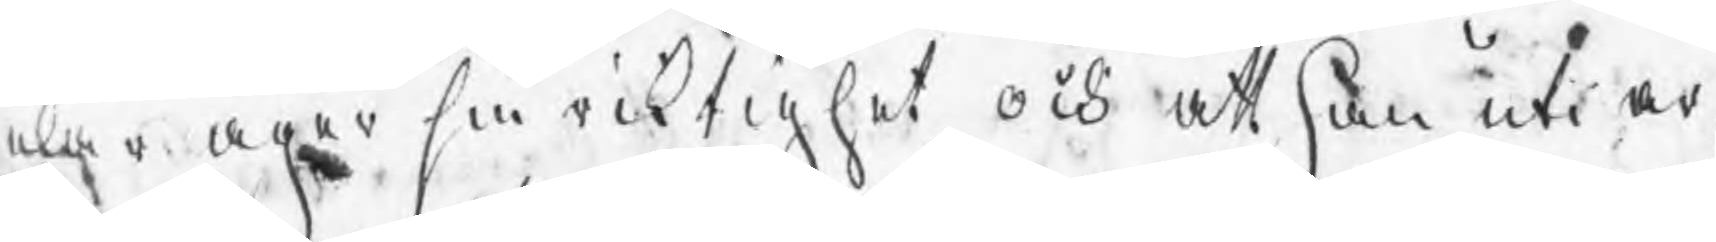elar äger sin riktighet, och att han uti ar¬
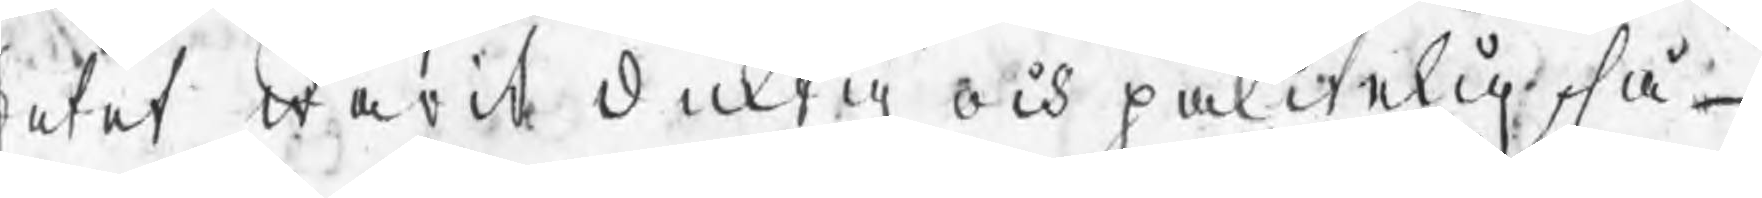betet warit duktig och pålitelig, så
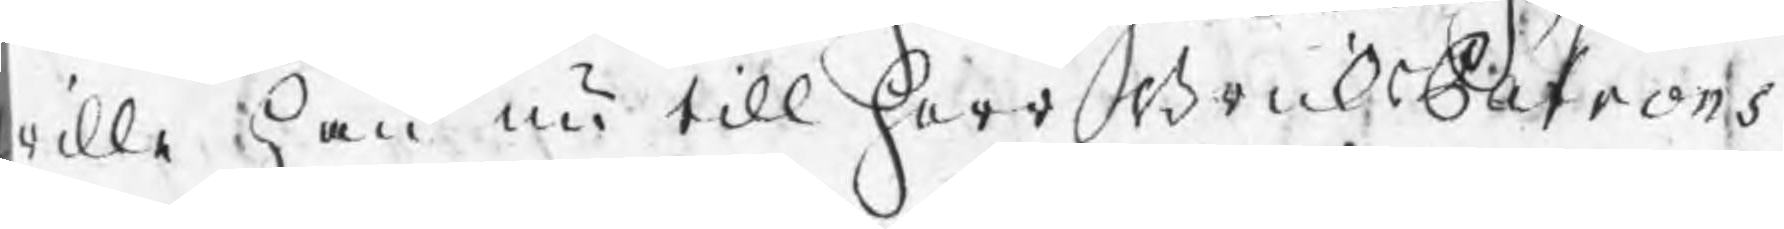wille han nu till Herr BruksPatrons
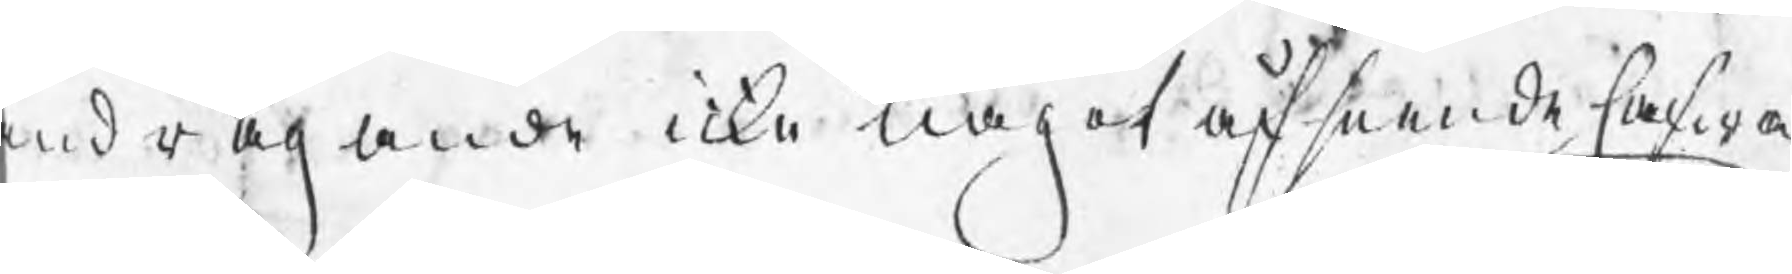andragande icke något afseende hafwa
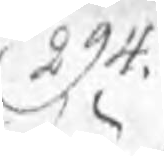294.
